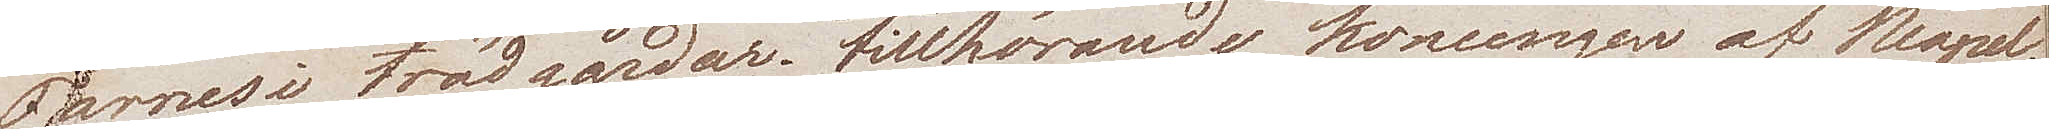Farnesi trädgårdar, tillhörande konungen av Neapel. 
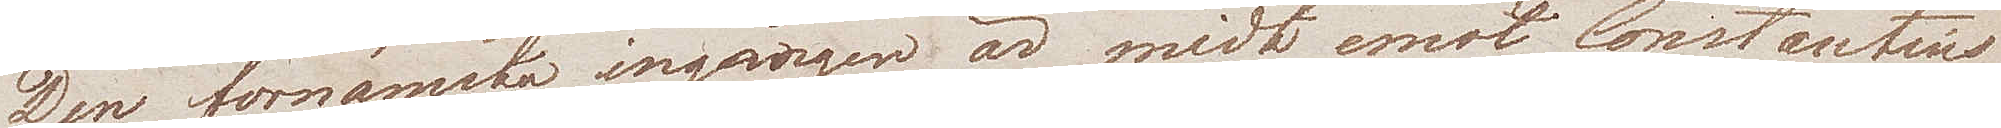Den förnämsta ingången är midt emot Constantins
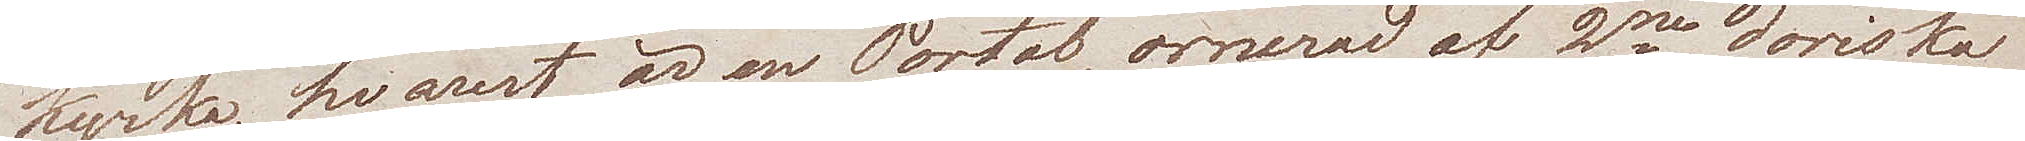kyrka, hvarest är en Portal, ornerad af 2ne doriska 
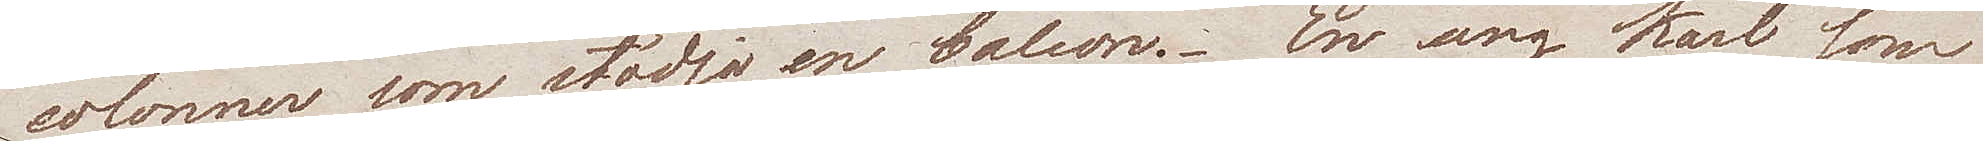colonner som stödja en balcon. En ung karl som
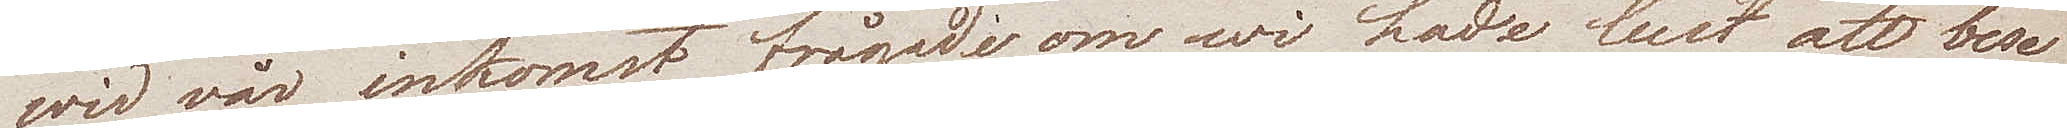wid vår inkomst, frågade om wi hade lust att bese
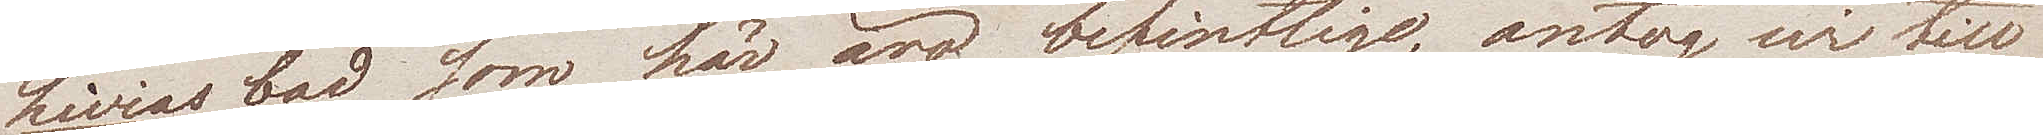Livias bad, som äro befintlige, antog wi till
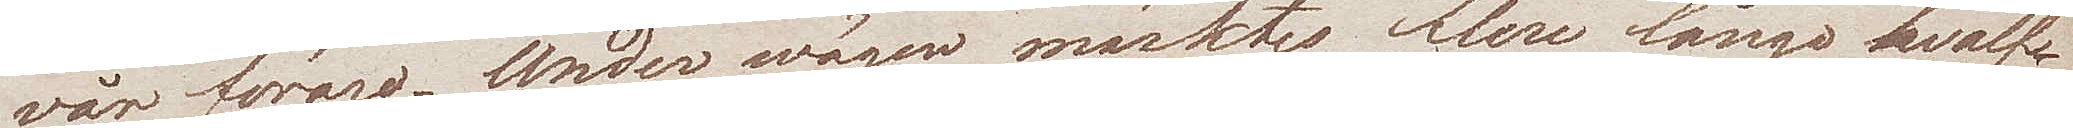vår förare. Under wägen märktes flere långe hvalf.
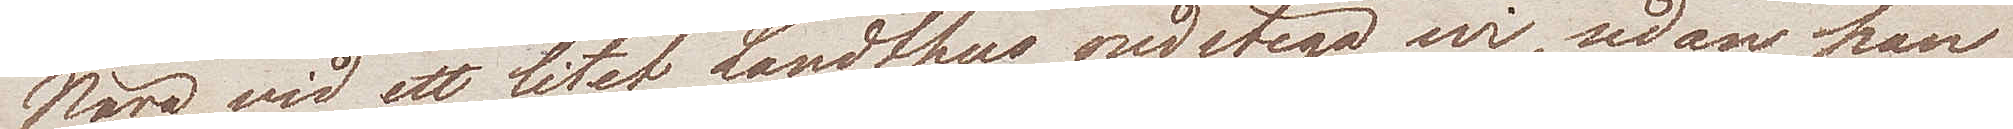Nära vid ett litet Landhus, nedstego wi, sedan han
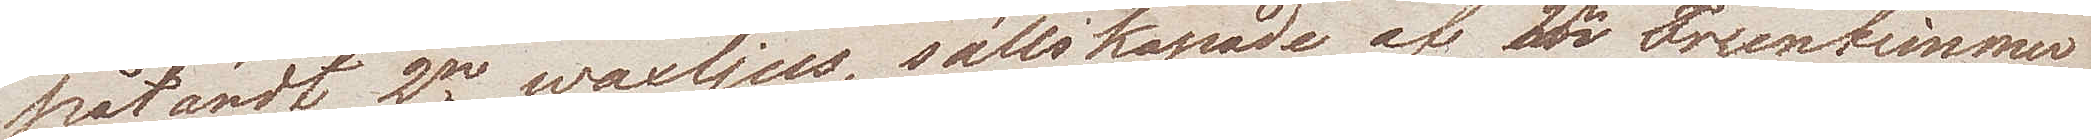påtändt 2ne waxljus, sällskapade af 2ne Fruntimmer
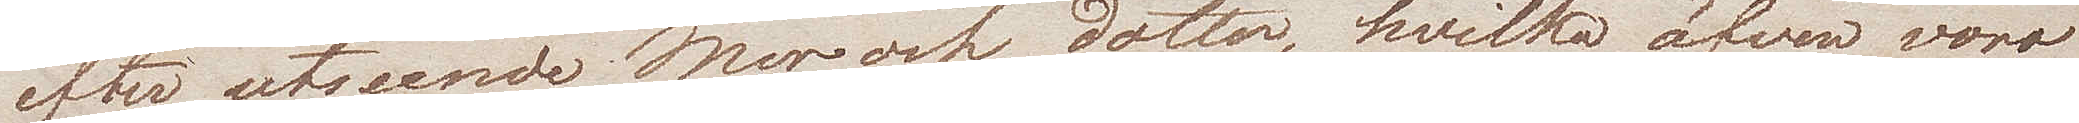efter utseende mor och dotter, hvilka äfven voro
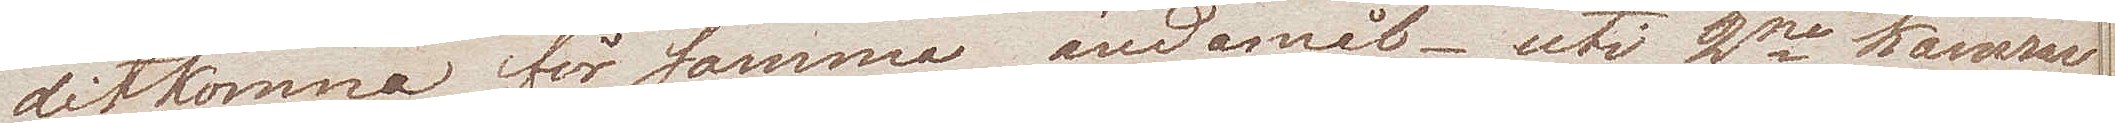ditkomna för samma ändamål – uti 2ne kamrar
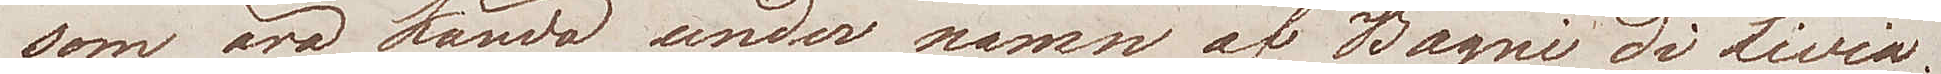som äro kända under namn af Bagni di Livia.
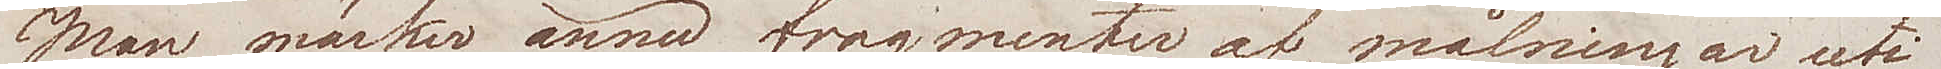Man märker ännu fragmenter af målningar uti
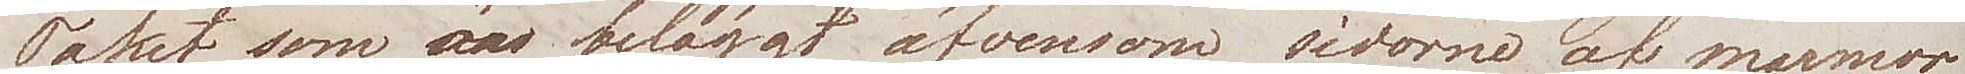Taket, som är beläggt äfvensom sidorne af marmor.
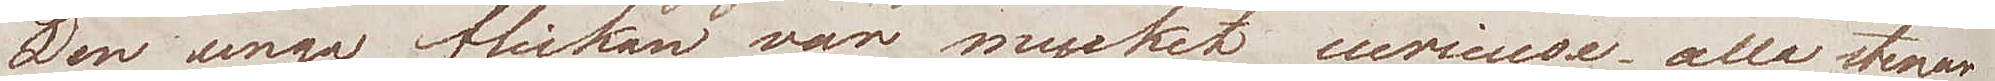Den unga flickan var mycket curieuse, alla stenar
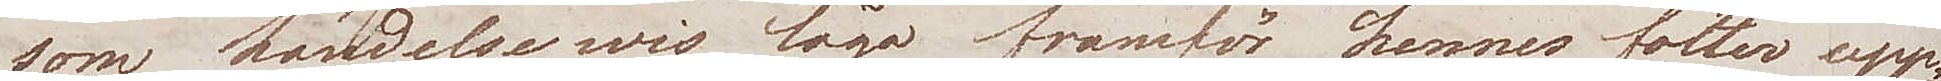som händelsewis lågo framför hennes fötter upp¬
